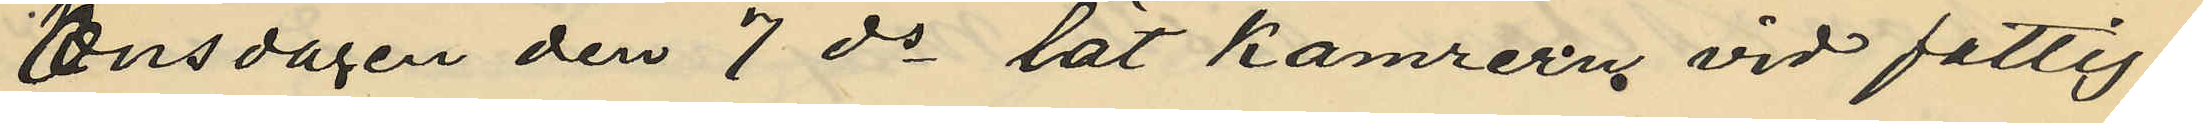Onsdagen den 7 ds lät kamrern vid fattig¬
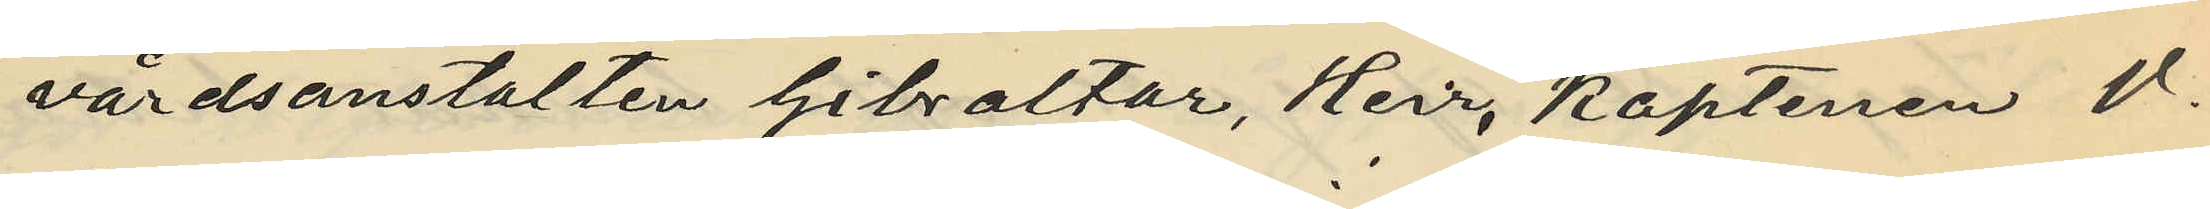vårdsanstalten Gibraltar, Herr, Kaptenen V.
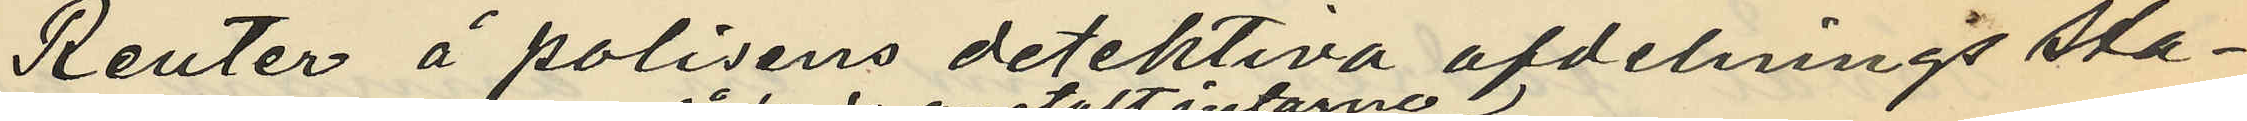Reuter å polisens detektiva afdelnings sta¬
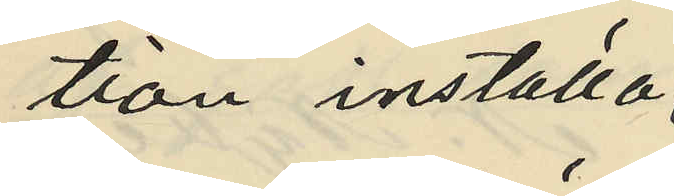tion inställa
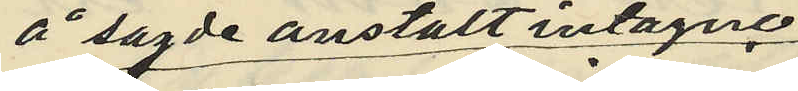å sagde anstalt intagne
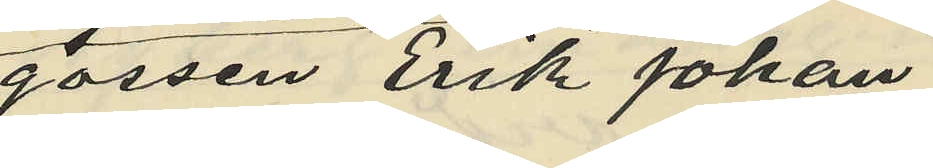gossen Erik Johan
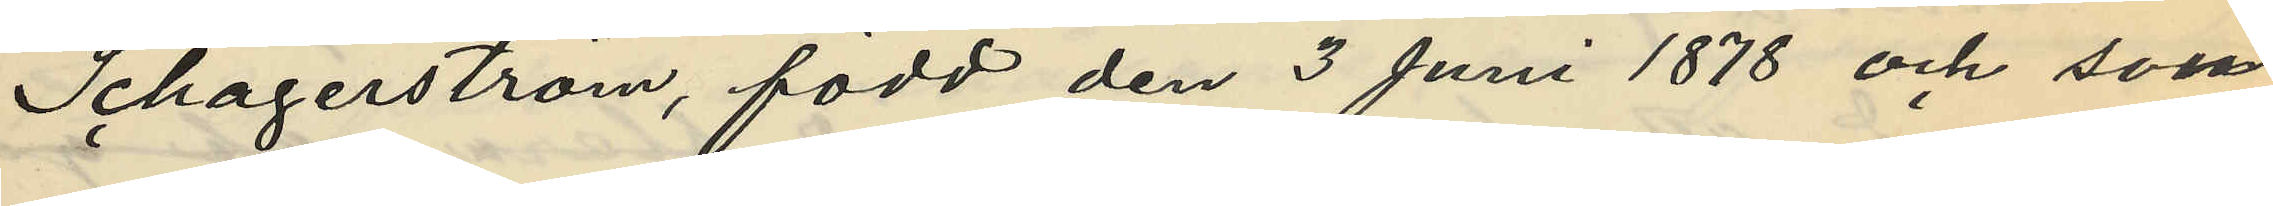Schagerström, född den 3 Juni 1878 och som
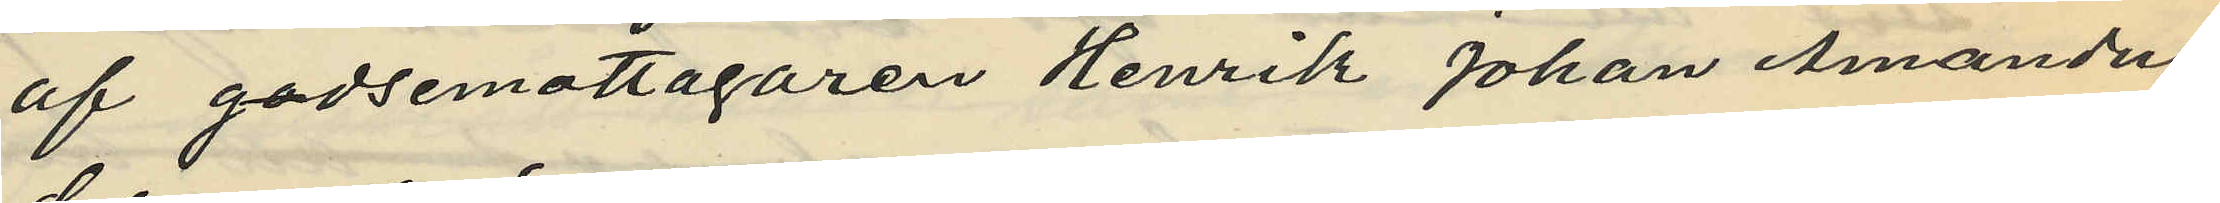af godsemottagaren Henrik Johan Amandus
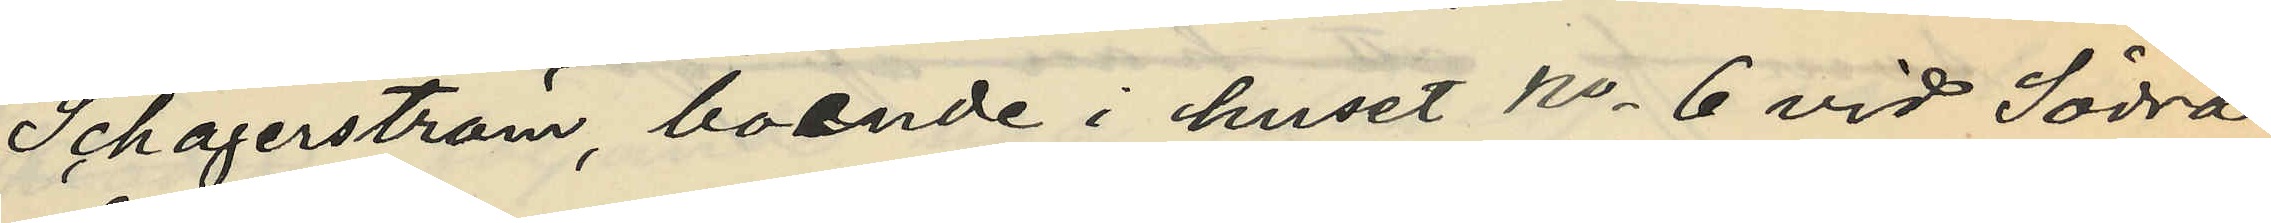Schagerström, boende i huset No 6 vid Södra
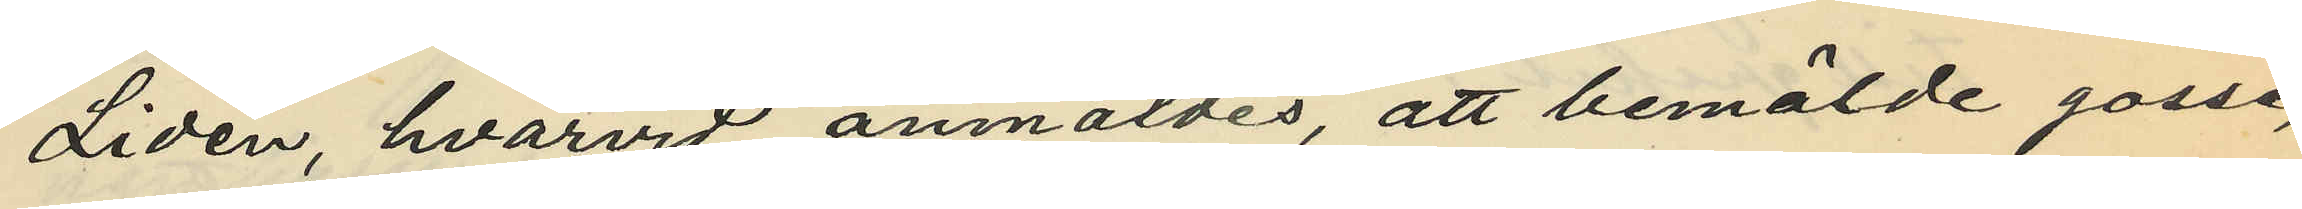Liden, hvarvid anmäldes, att bemälde gosse,
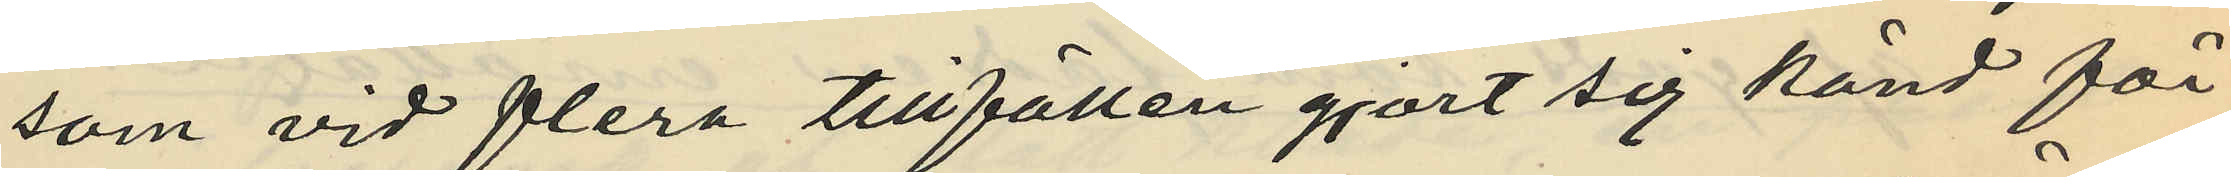som vid flera tillfällen gjort sig känd för
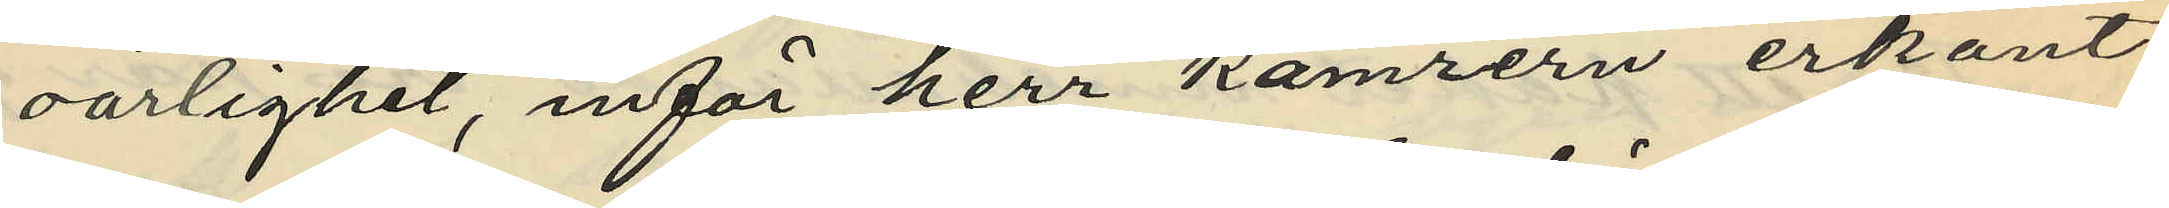oärlighet, inför herr kamrern erkänt
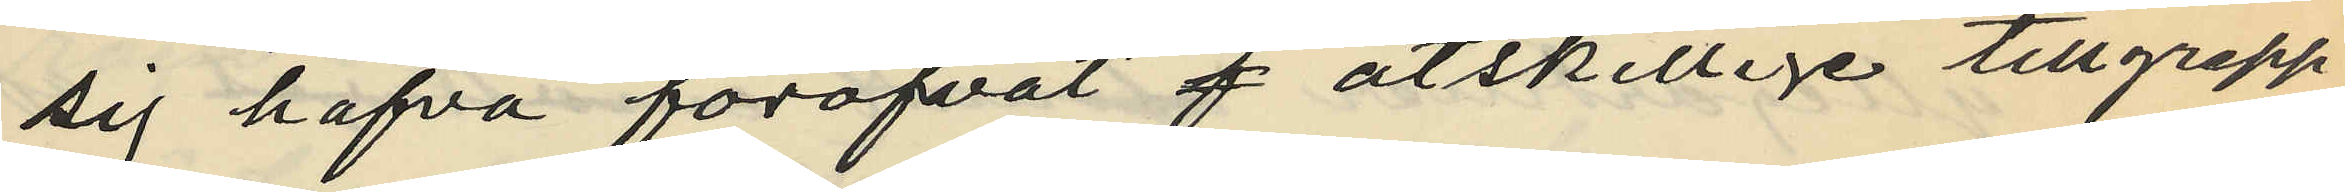sig hafva föröfvat f åtskillige tillgrepp
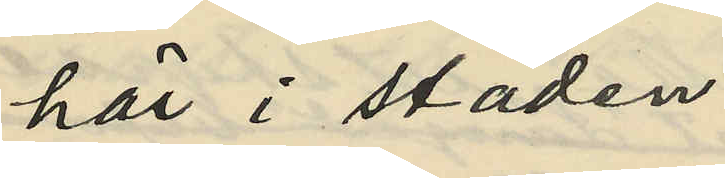här i staden.
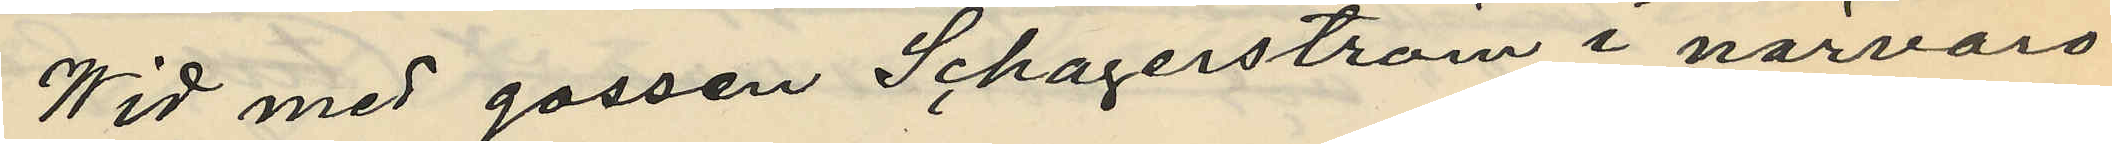Wid med gossen Schagerström i närvaro
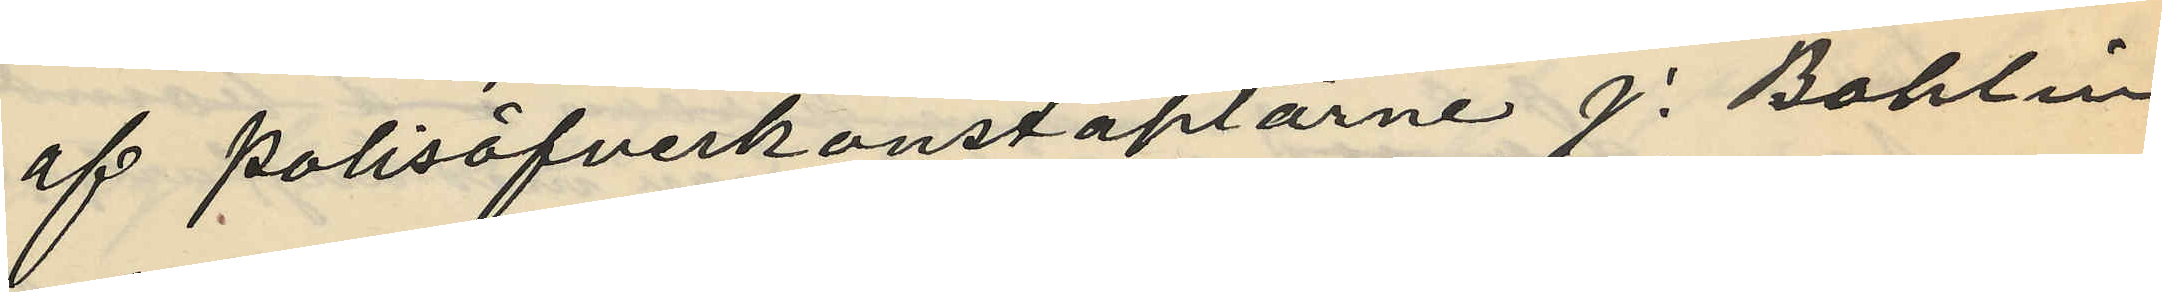af polisöfverkonstaplarne J. Bohlin
